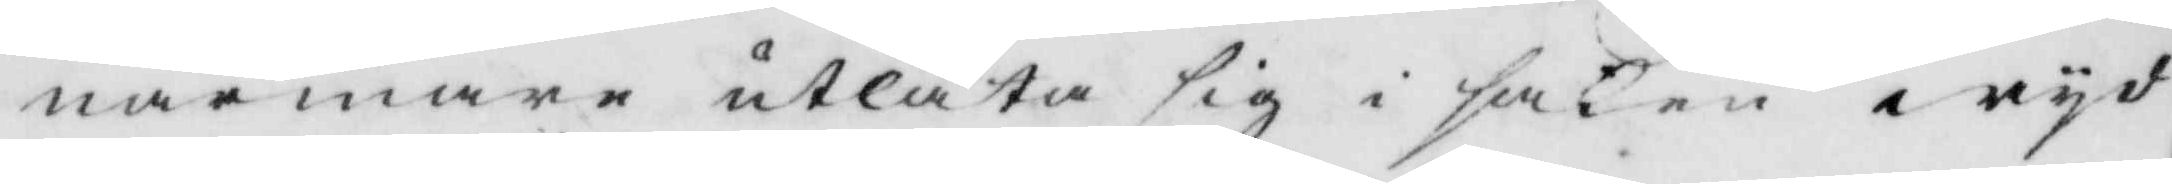närmare utlåta sig i saken wyd
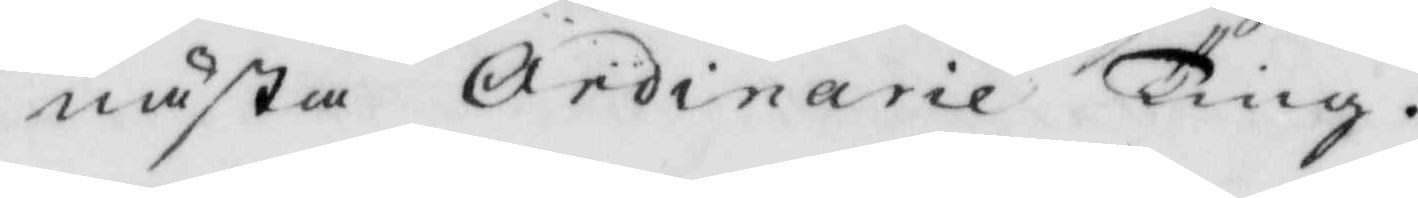nästa Ordinarie Ting.
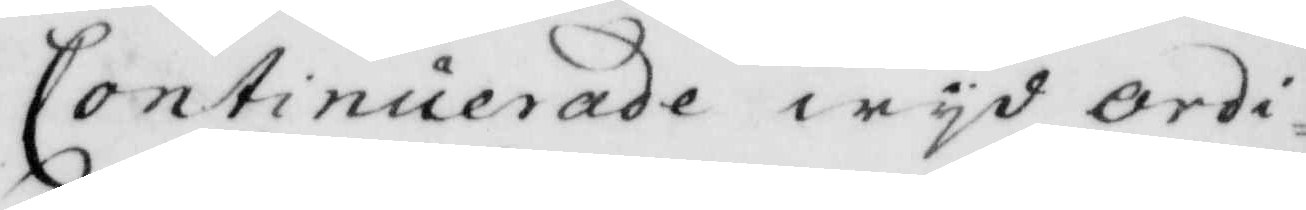Continuerade wyd ordi¬
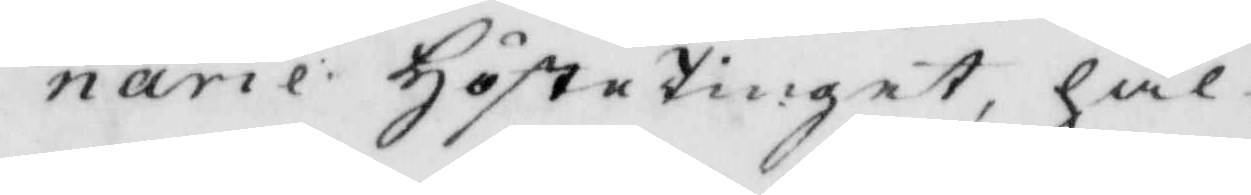narie Höstetinget, hål¬
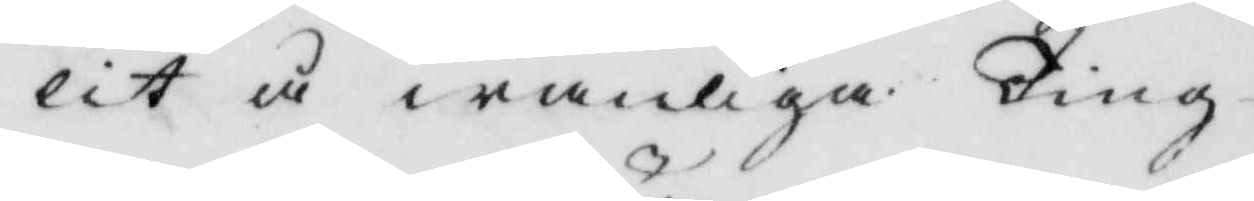lit å wanliga Ting¬
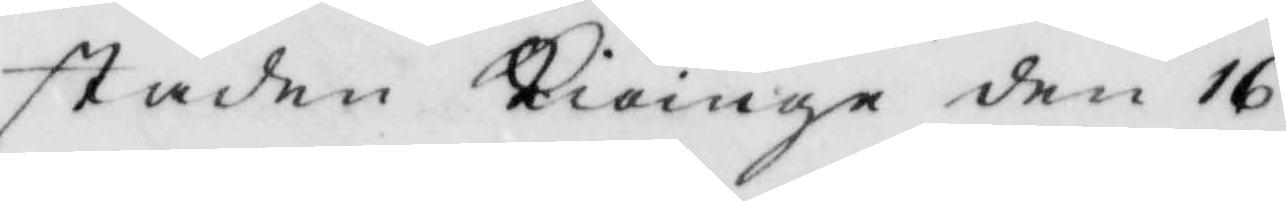staden Kiöinge den 16
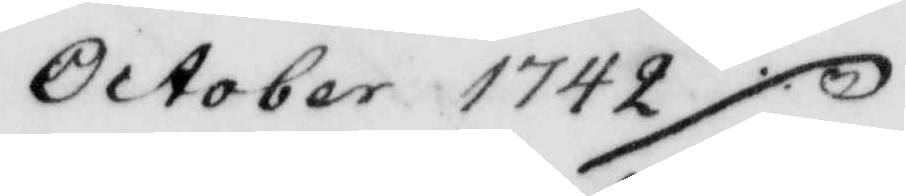October 1742 ./.
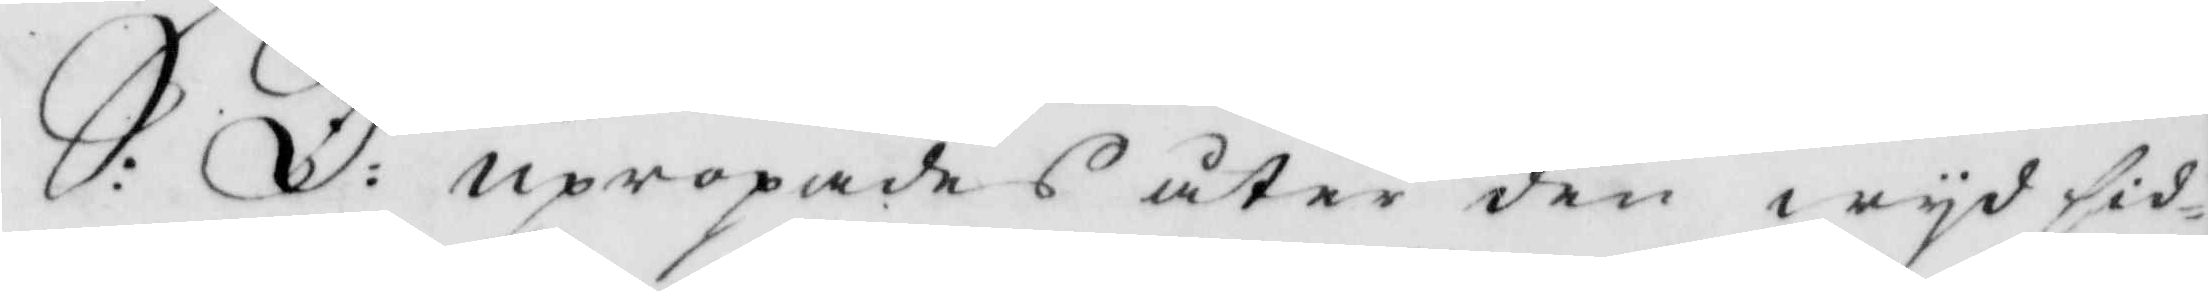S:D: upropades åter den wyd sid¬
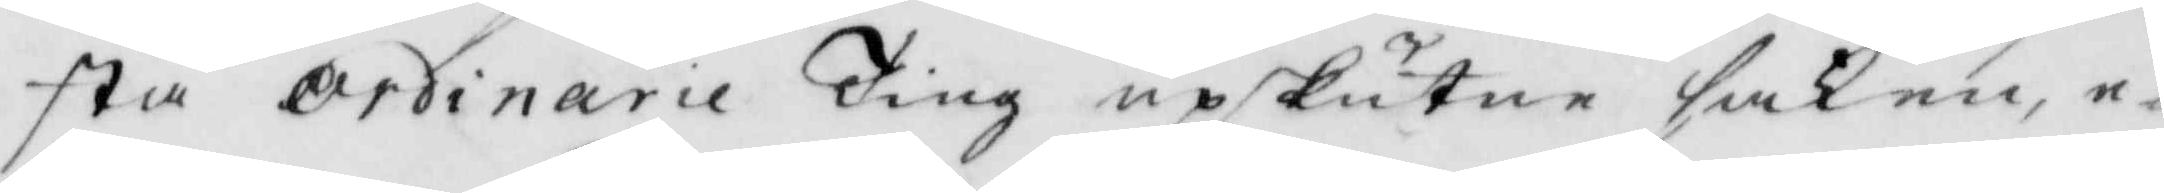sta ordinarie Ting upskutne saken, e¬
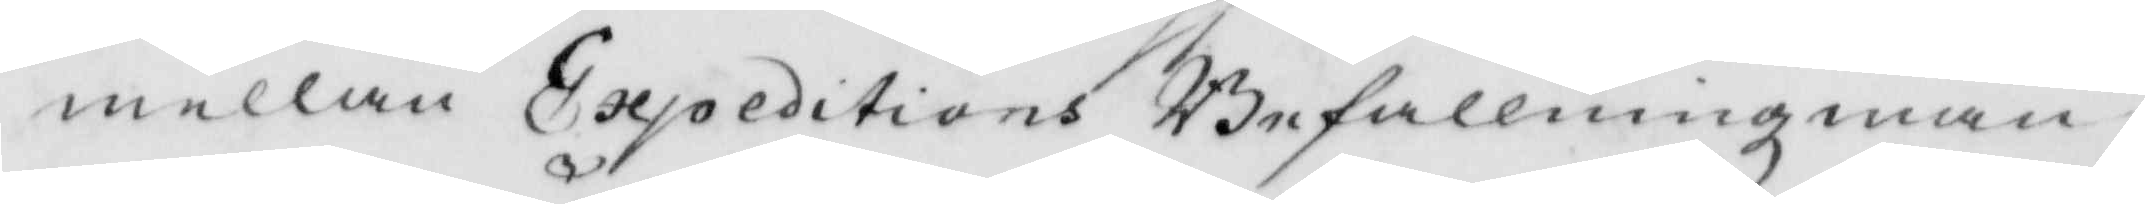mellan Expeditions Befallningzman¬
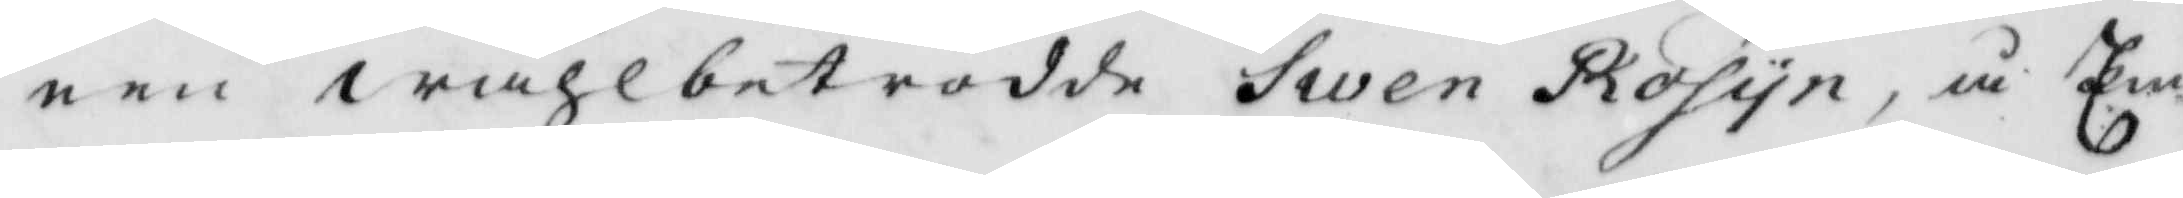nen wählbetrodde Swen Rosyn, å Em¬
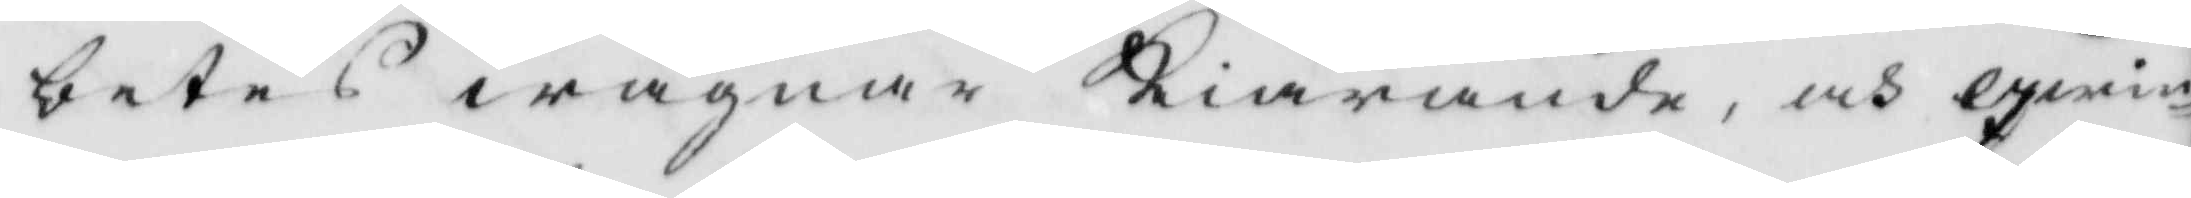betes wägnar Kiärande, och qwin¬
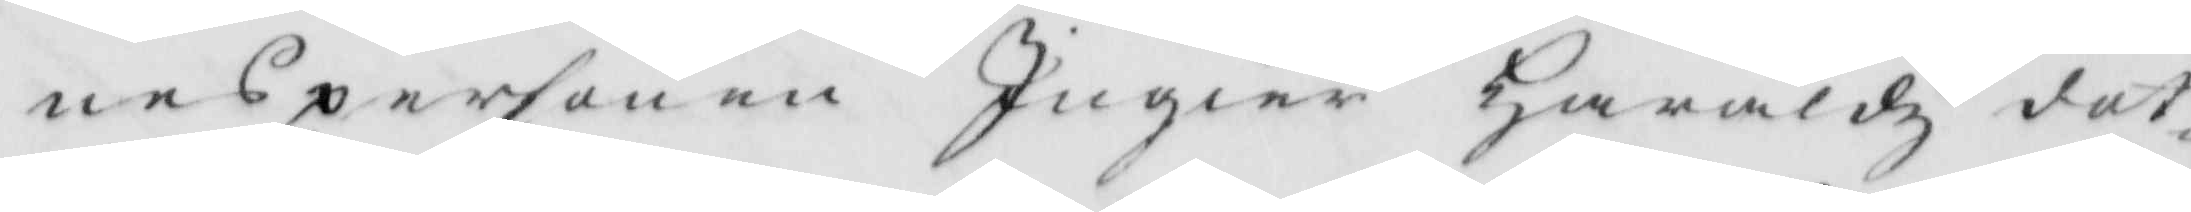nespersonen Ingier Haralds dot¬
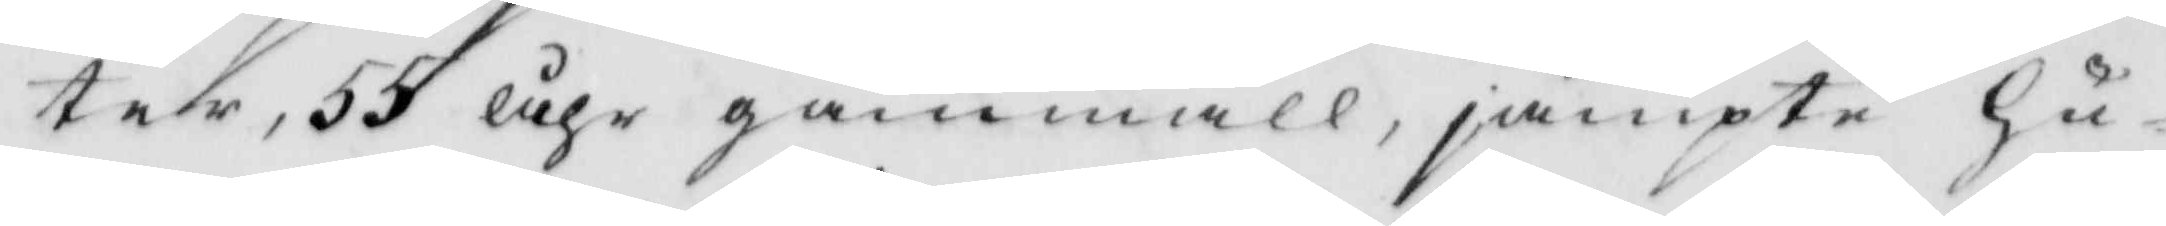ter, 55 åhr gammall, jämpte Hu¬
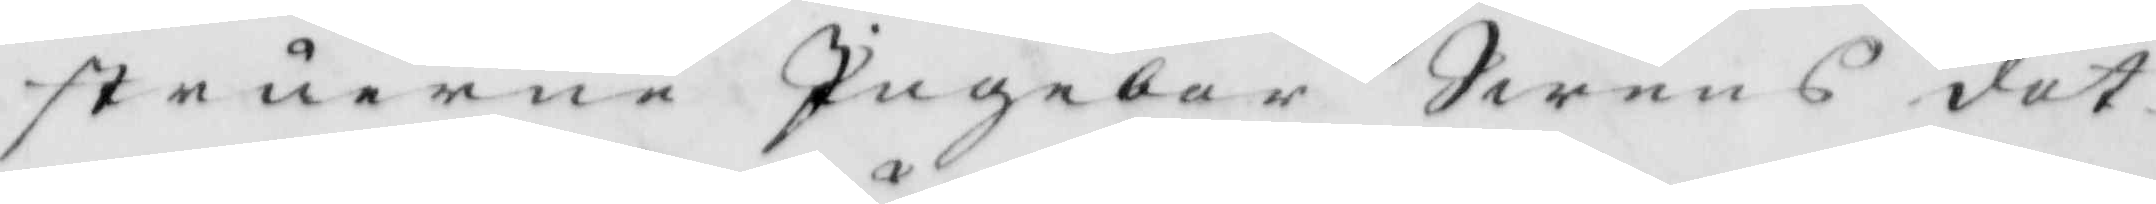struerne Ingebor Swens dot¬
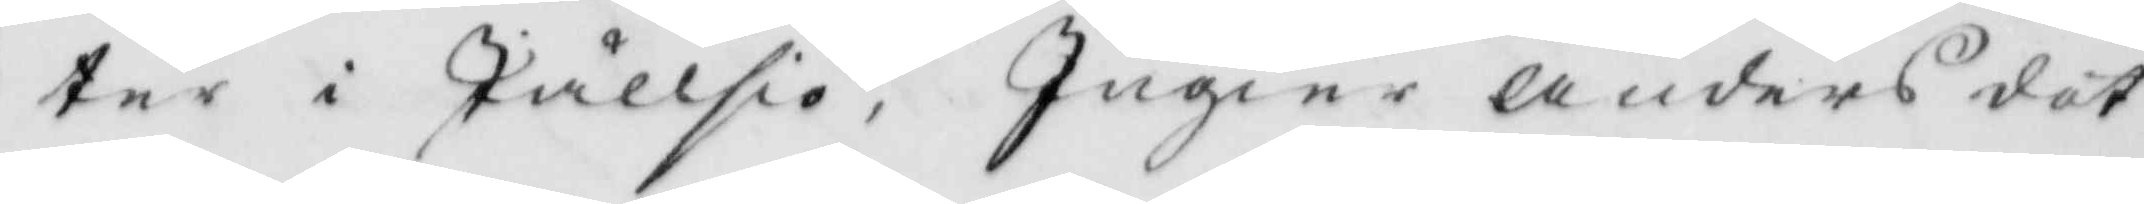ter i Jällsiö, Ingier Anders dot¬
